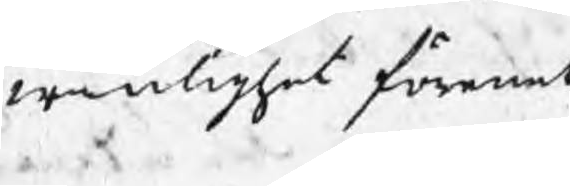wänlighet förenat
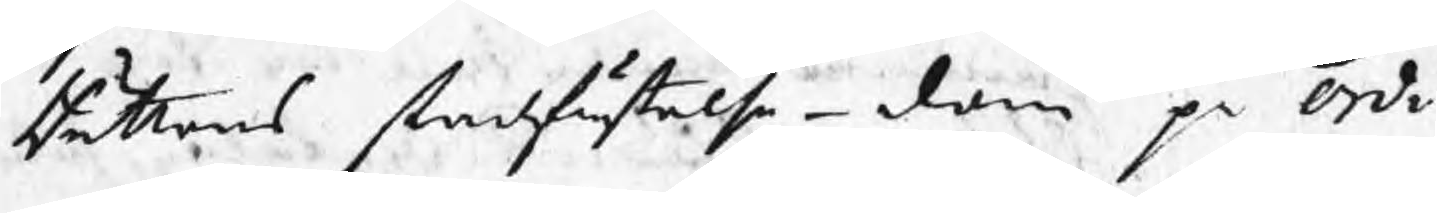Rättens stadfästelse-dom på Ordi¬
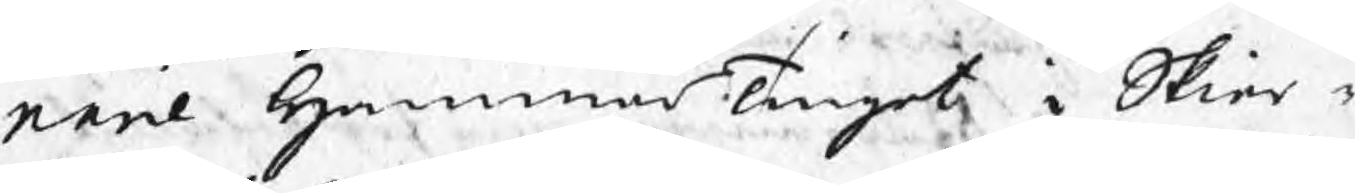narie HammarTinget i Skier¬
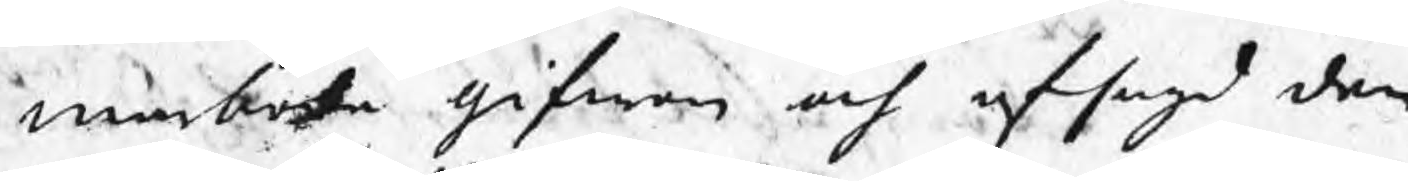marboda gifwen och afsagd den
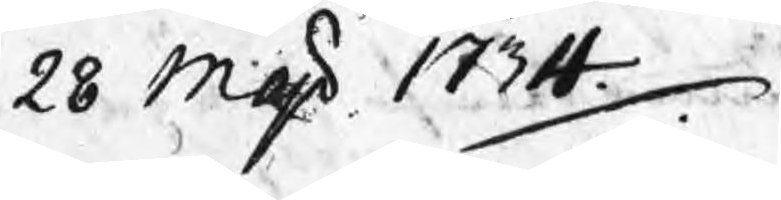28 Maji 1734.
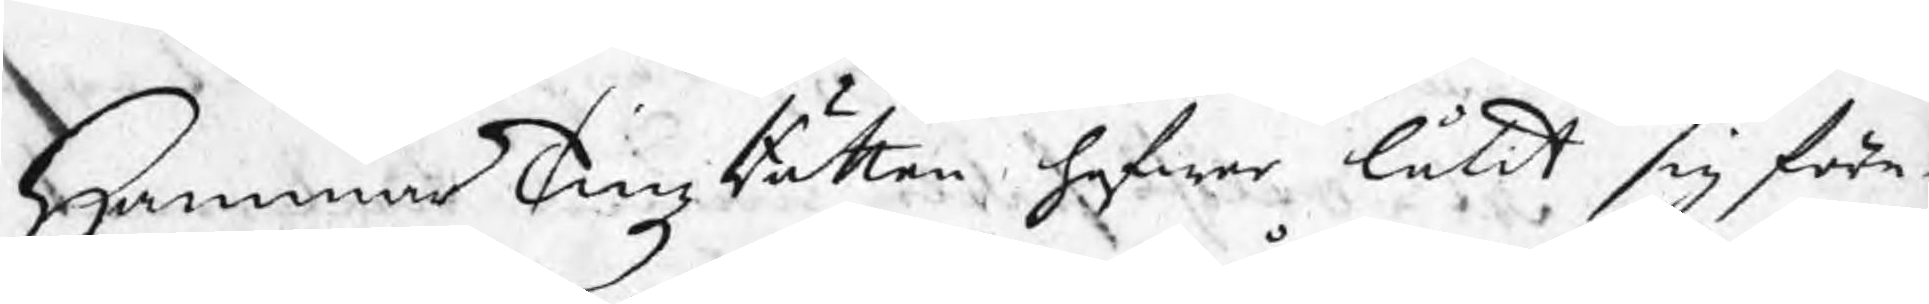HammarTingzRätten hafwer låtit sig före¬
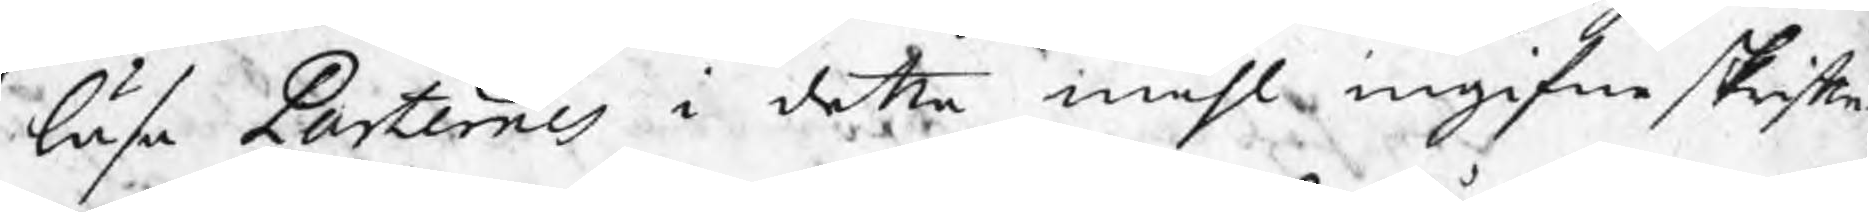läsa Parternes i detta måhl ingifne skrifte¬
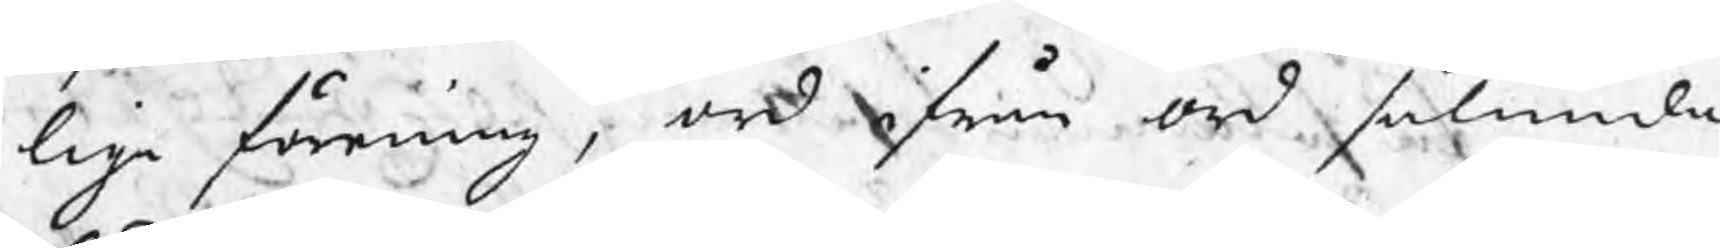lige förening, ord ifrån ord sålunda
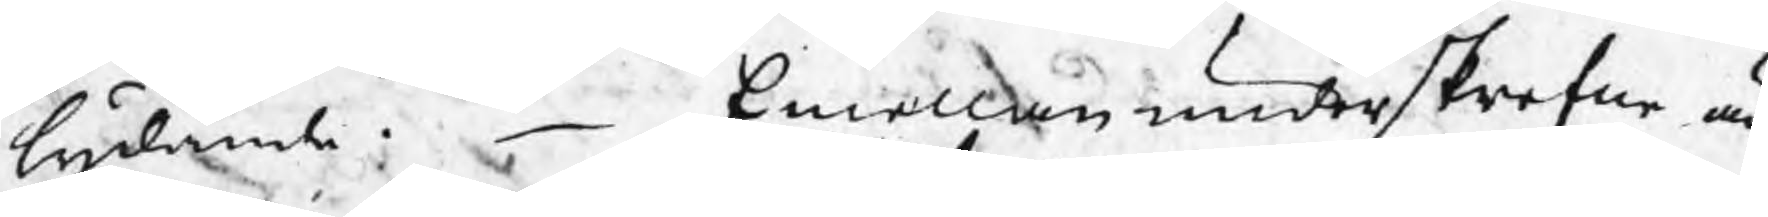lydande:  Emellan underskrefne är
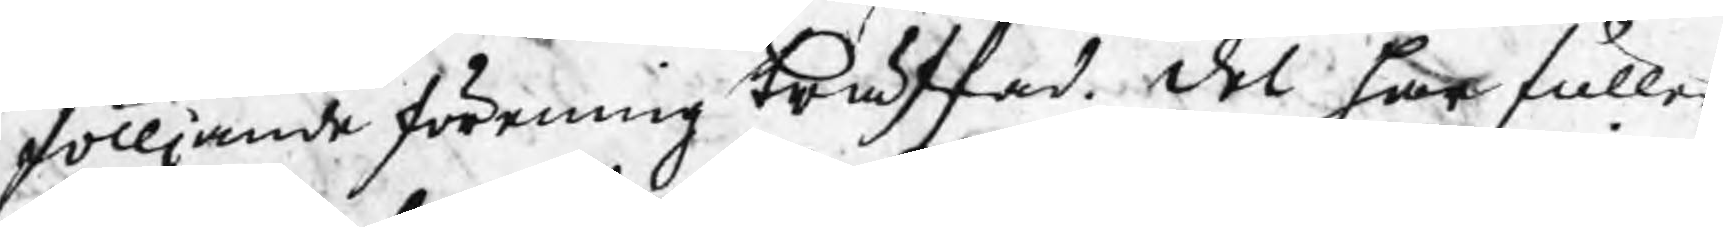fölljande förening träffad. Del har fuller
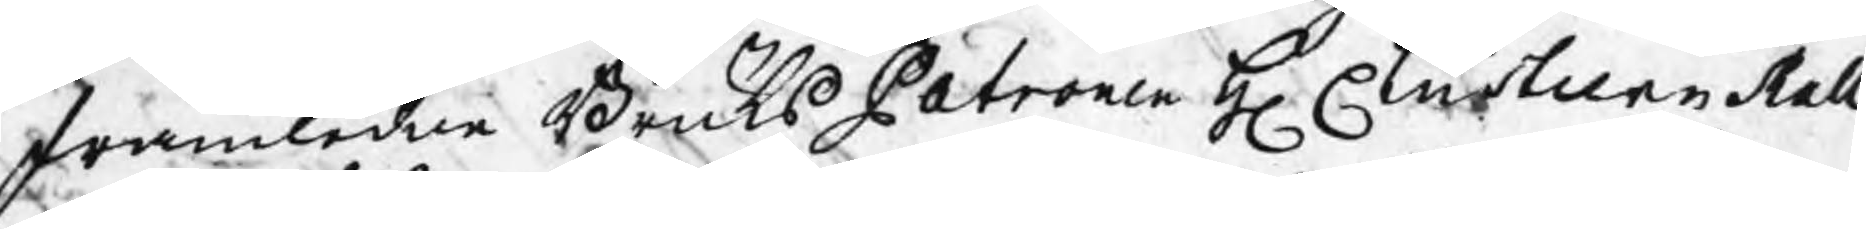framledne BruksPatronen H Christian Mall¬
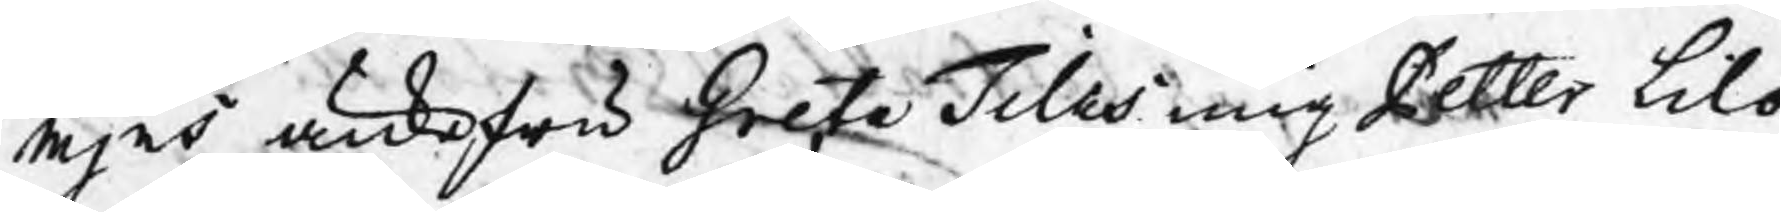mjns änkefru Greta Tilas mig Petter Lilo
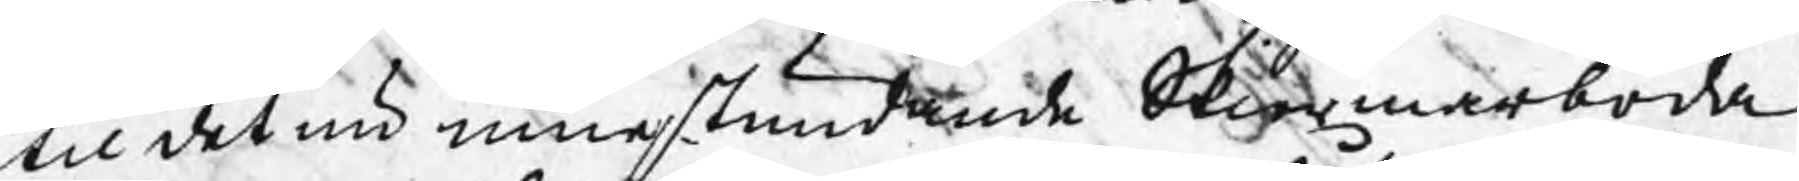til det nu innestundande Skiermarboda
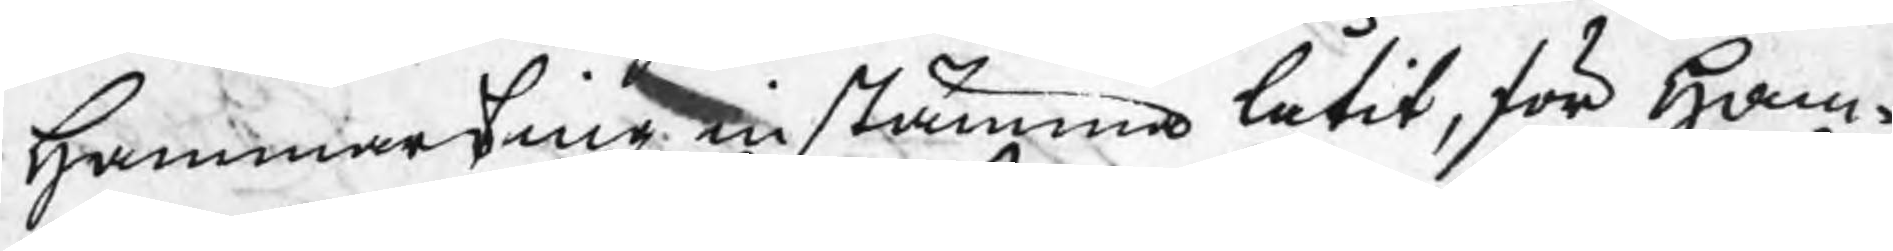Hammarting instämma låtit, för Ham¬
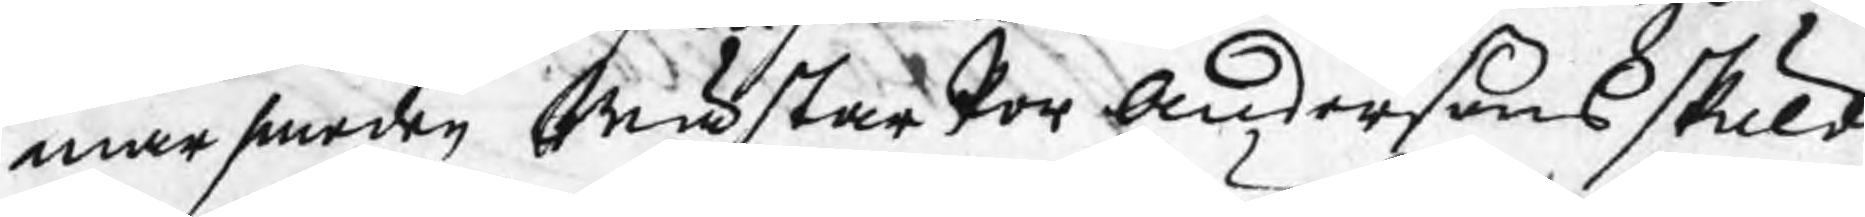marsmeden Mäster Per Anderßons skuld
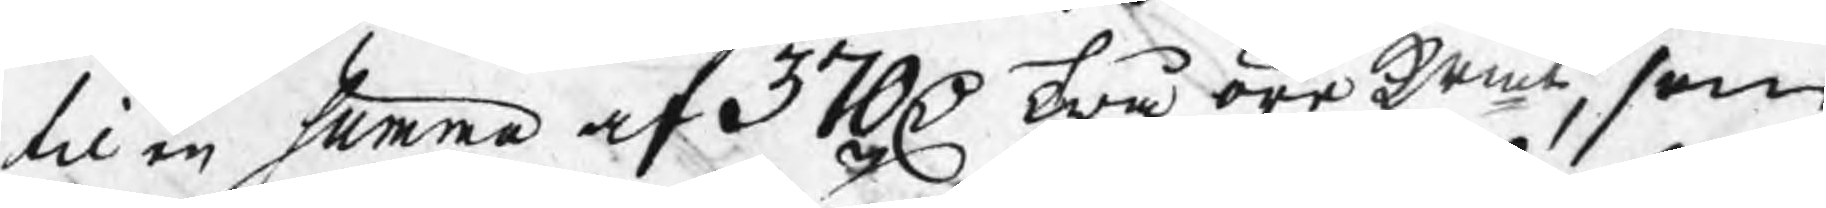til en summa af 370 D twå öre krmt, som
